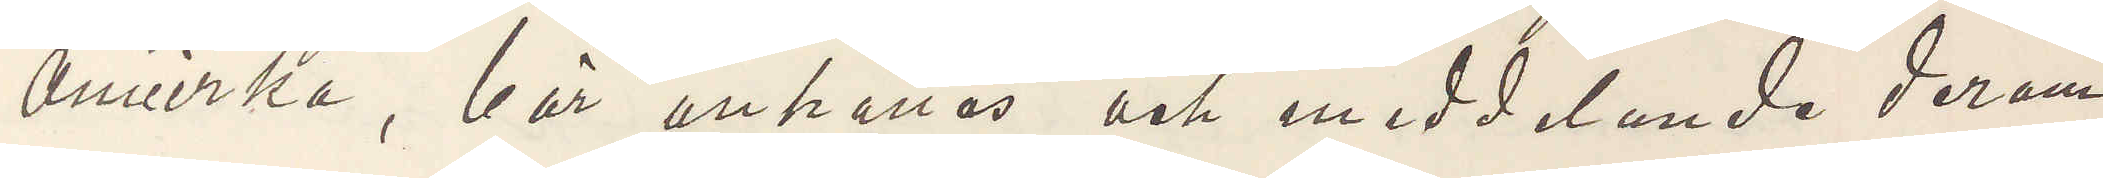Amerika, bör anhållas och meddelande derom
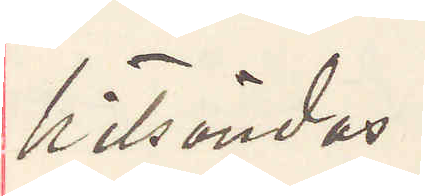hitsändes.
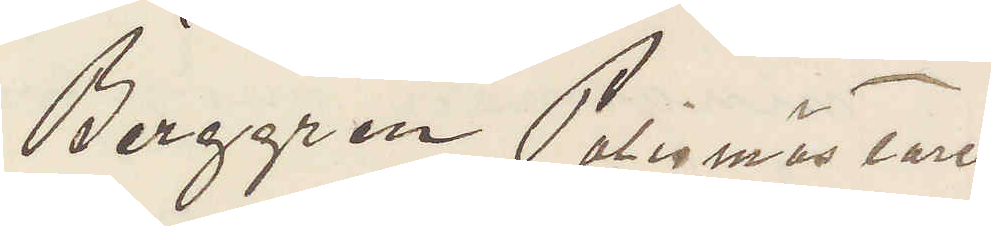Berggren Polismästaren.
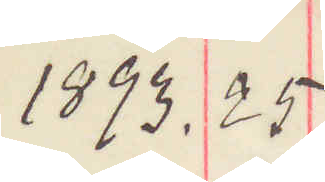1893. 25
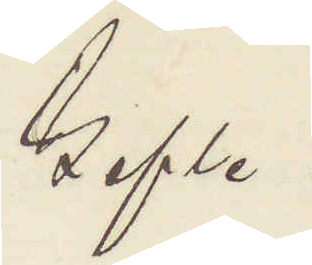Gefle.
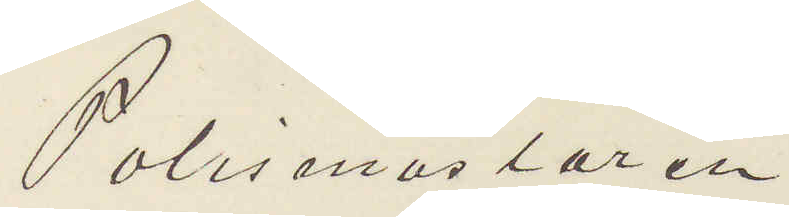Polismästaren
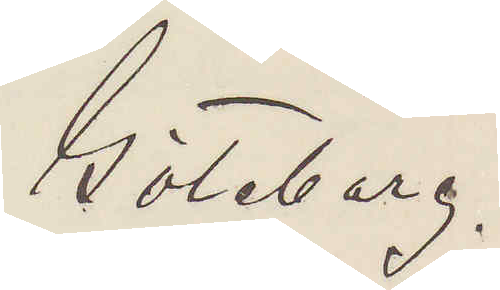Göteborg.
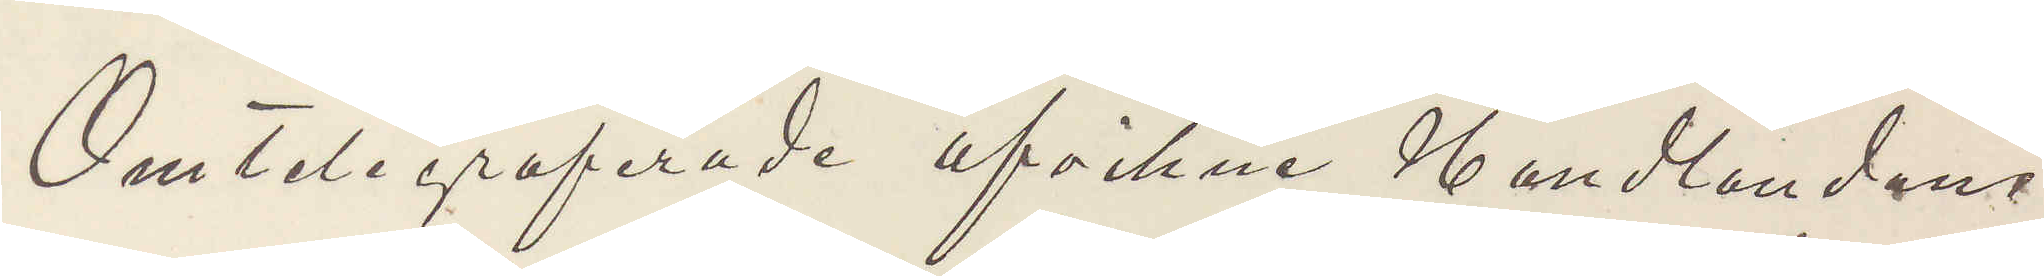Omtelegraferade afvikne Handlandens
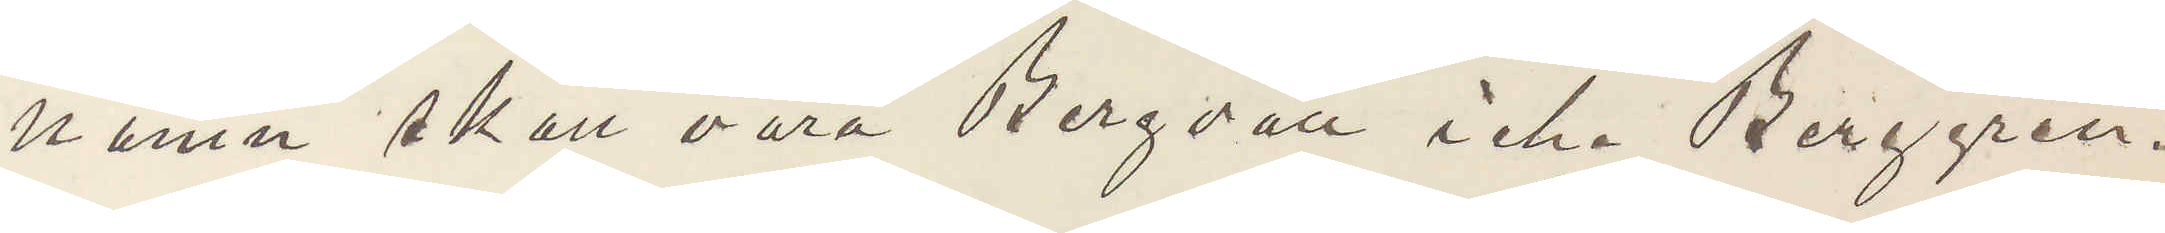namn skall vara Bergvall icke Berggren.
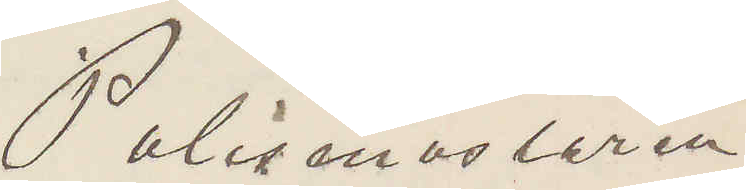Polismästaren
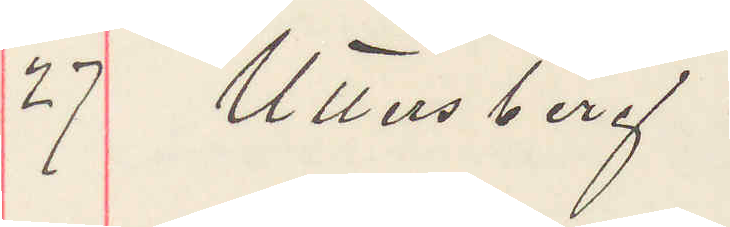27 Uttersberg.
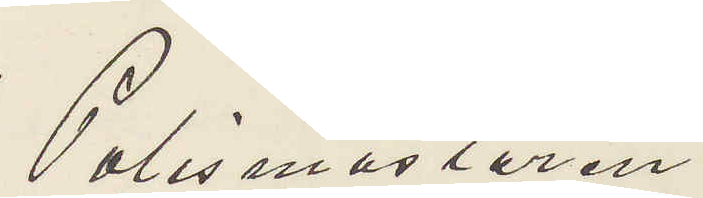Polismästaren
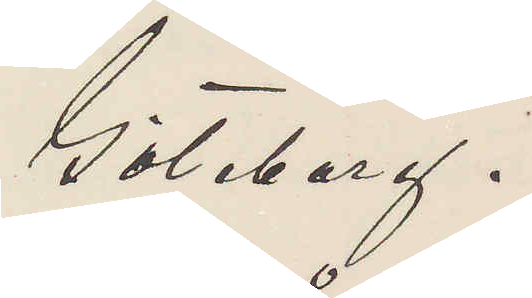Göteborg.
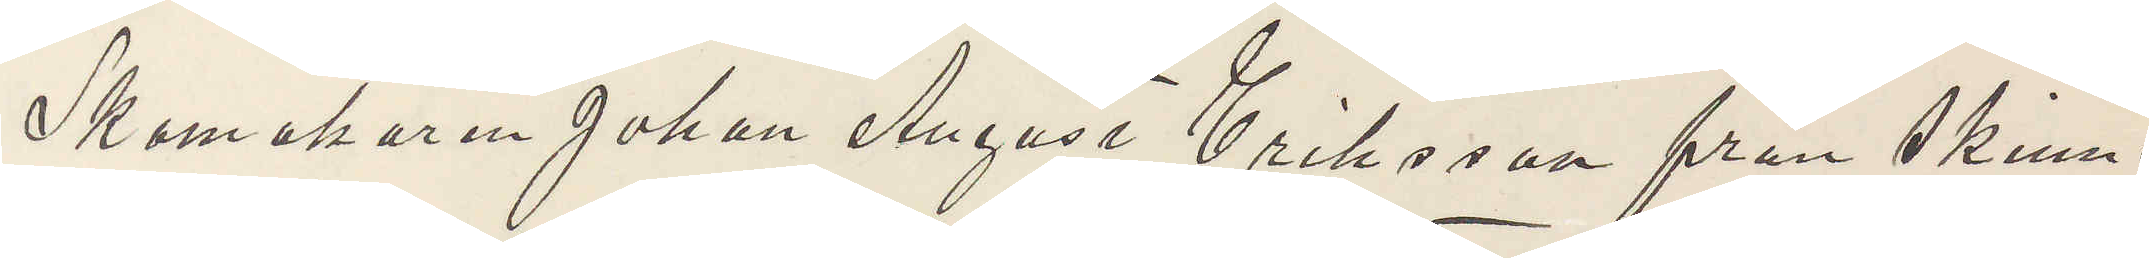Skomakaren Johan August Eriksson från Skinn¬
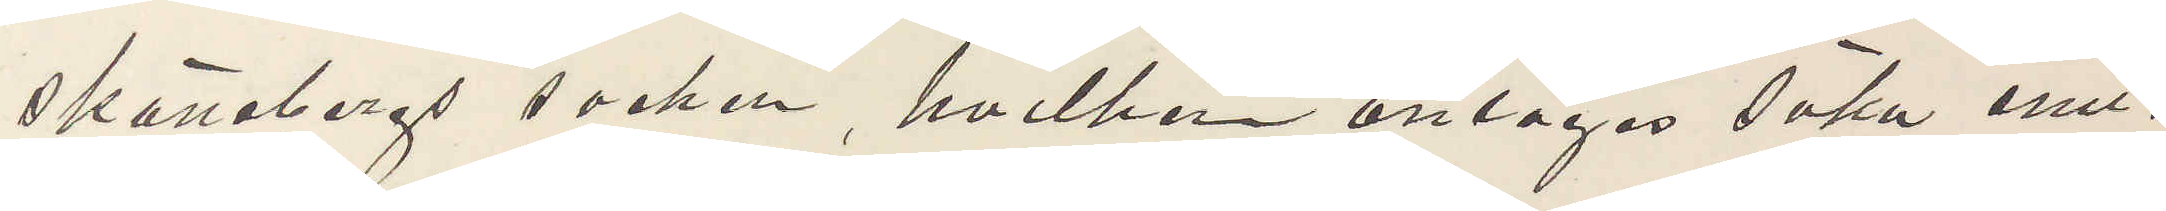skattebergs socken, hvilken antages söka emi¬
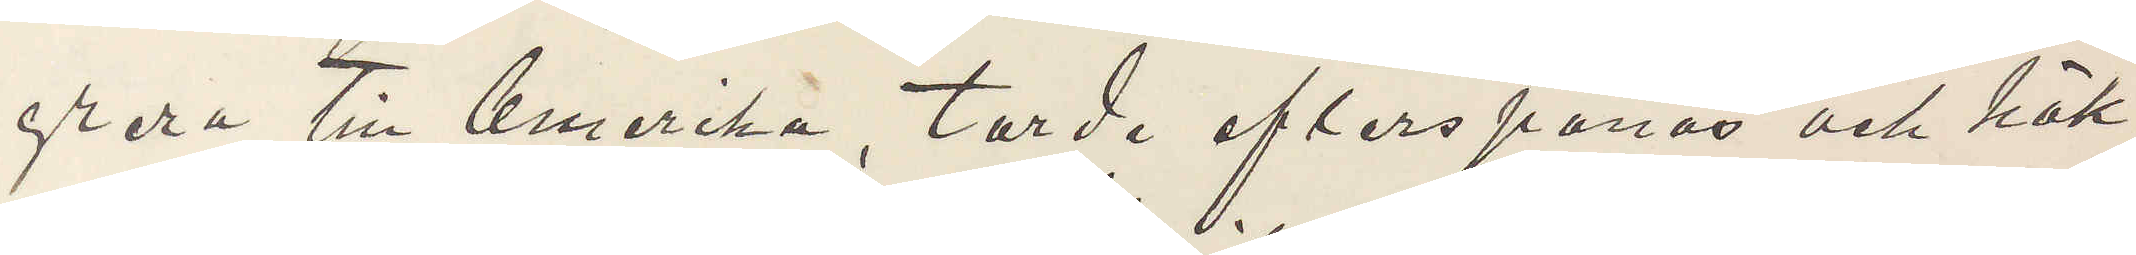grera till Amerika, torde efterspanas och häk¬
